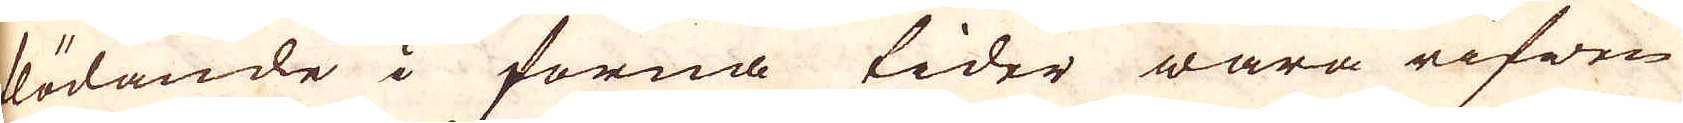födande i forna tider wara rifwen
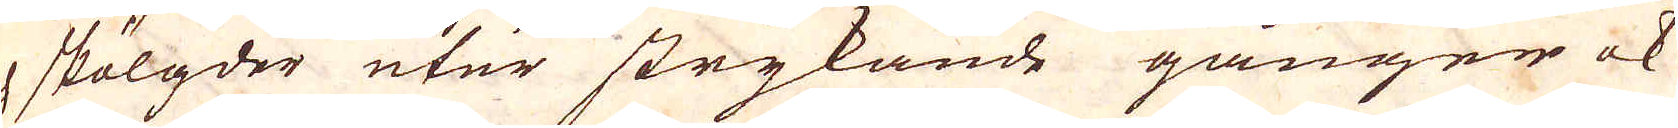och skölgder utur strykande gånger ok
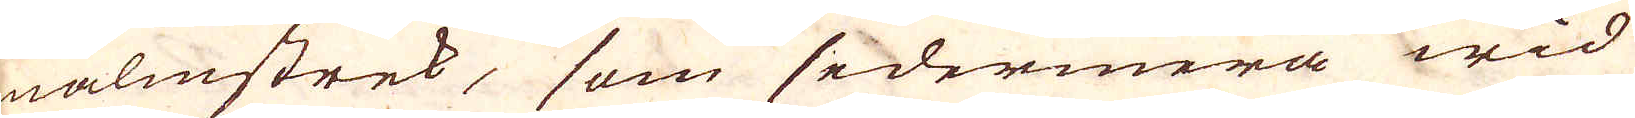malmstrek, som sedermera wid
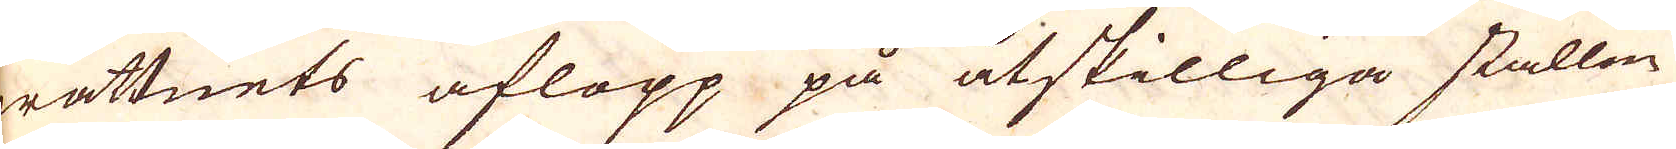wattnets aflopp på åtskilliga ställen
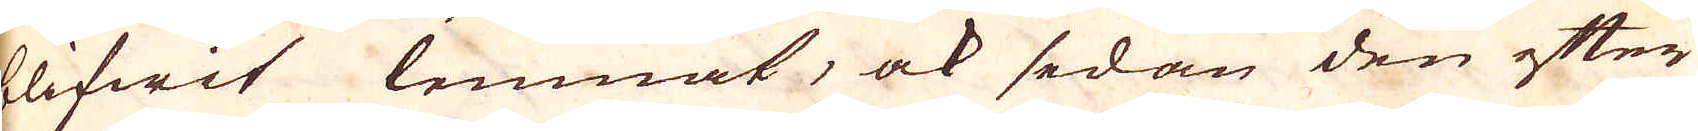blifwit lemnat, ock sedan den efter
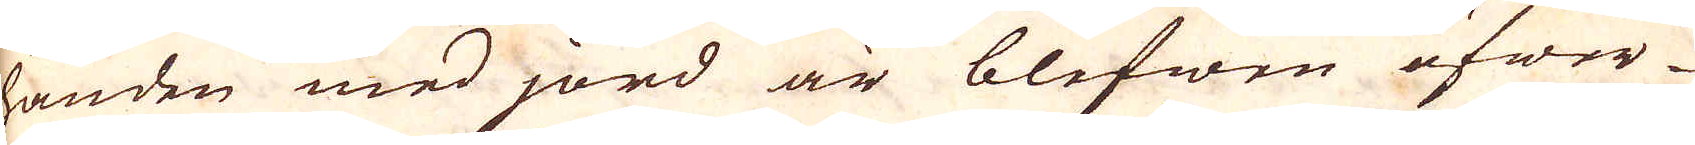handen med jord är blifwen öfwer-
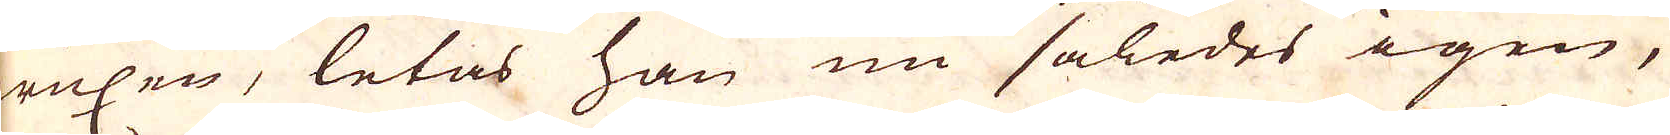wuxen, letas han nu således igen,
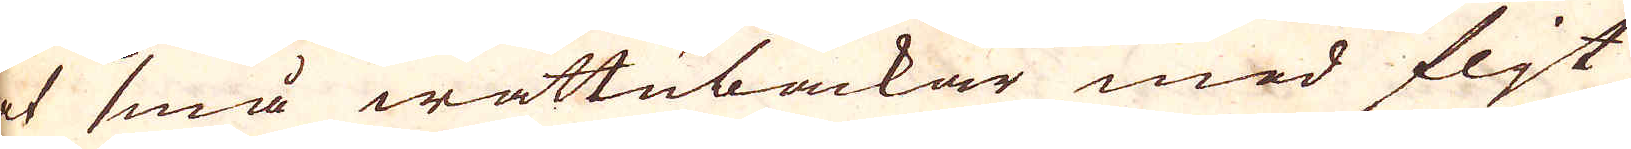at små wattubäckar med fljt
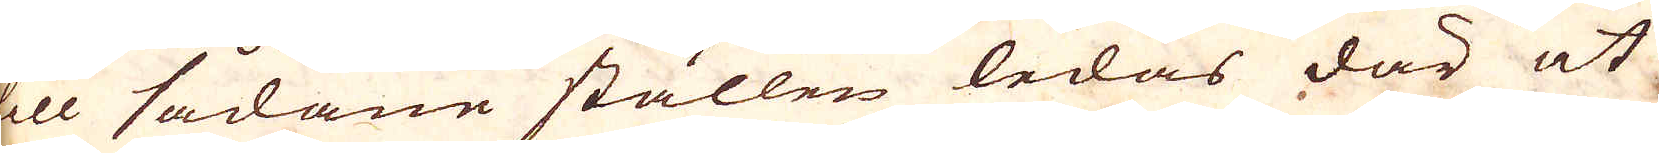till sådane ställen ledas där at
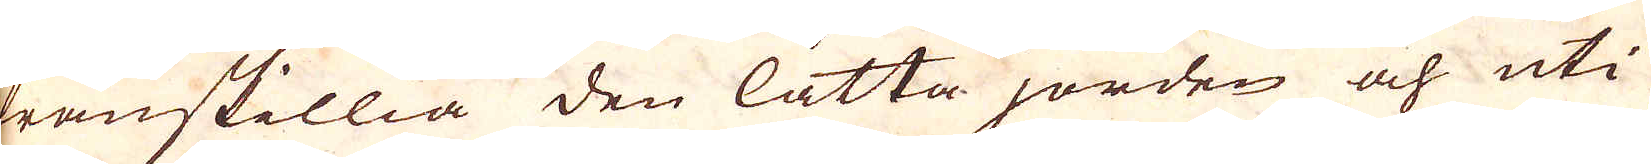frånskillia den lätta jorden och uti
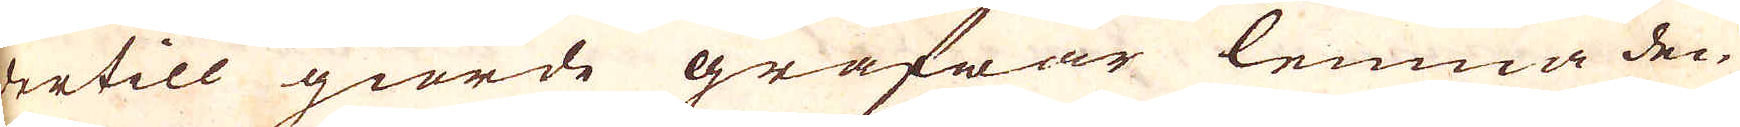dertill giorde grafwar lemna den
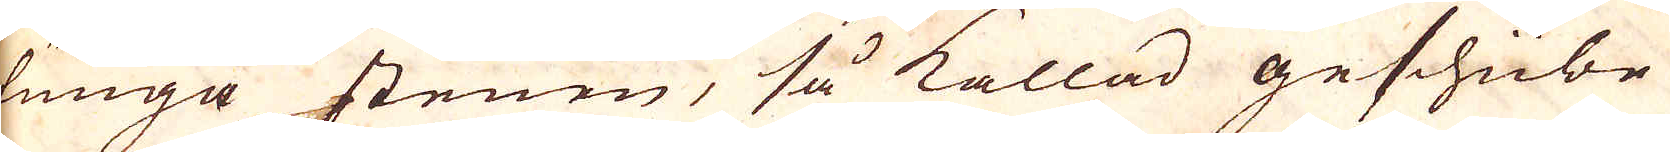lunga stenen, så kallad geschübe
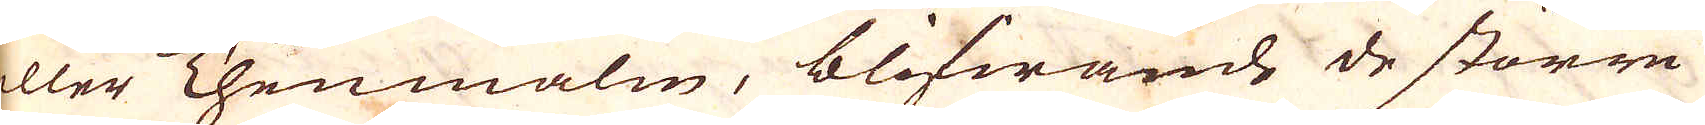eller Thenmalm, blifwande de större
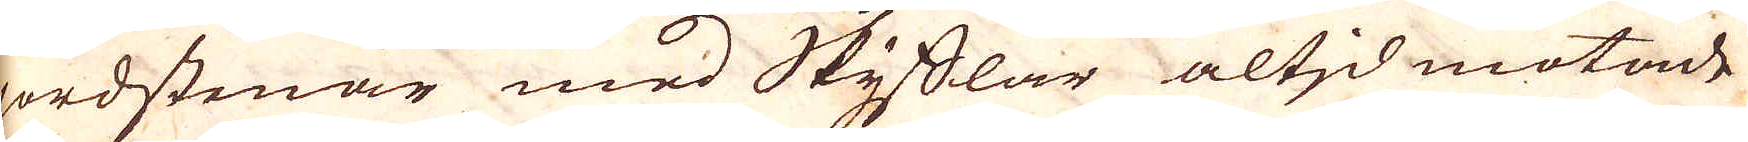jordstenar med Skyfflar altjd motade
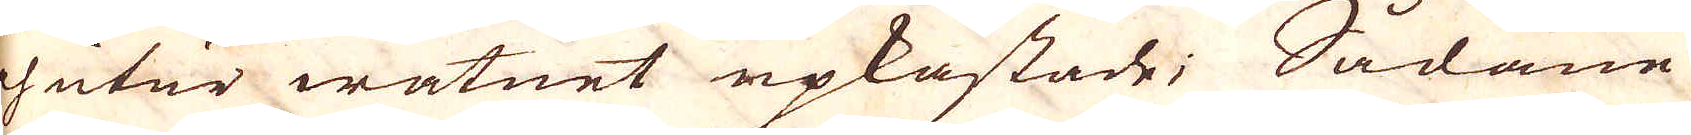och utur watnet upkastade; Sådane
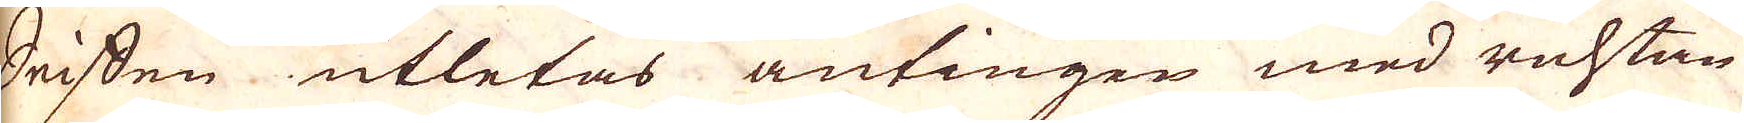Seiffen utletas antingen med ruhtan
